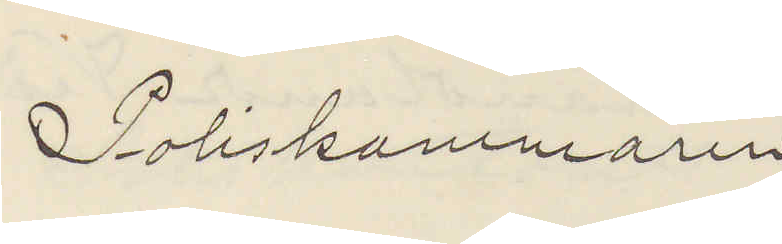Poliskammaren
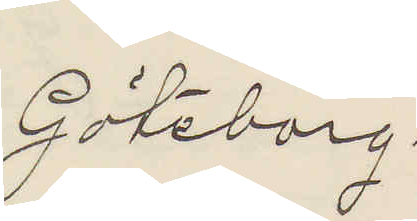Göteborg.
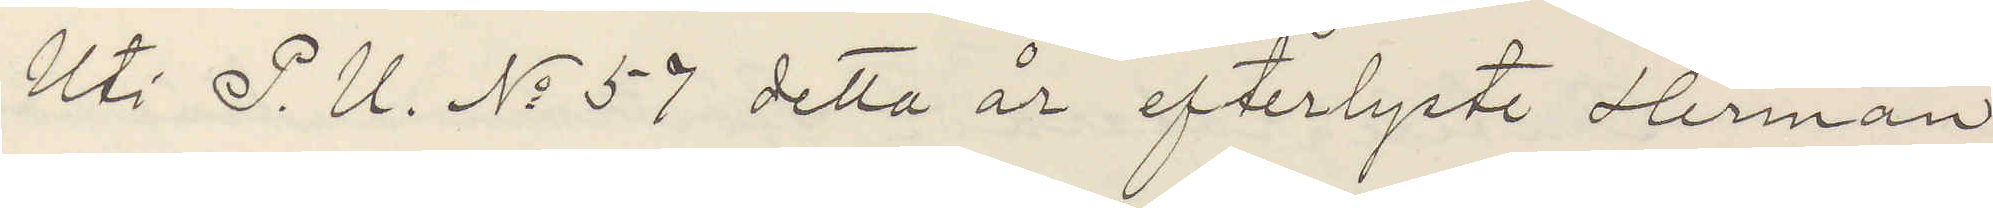Uti P. U. No 57 detta år efterlyste Herman
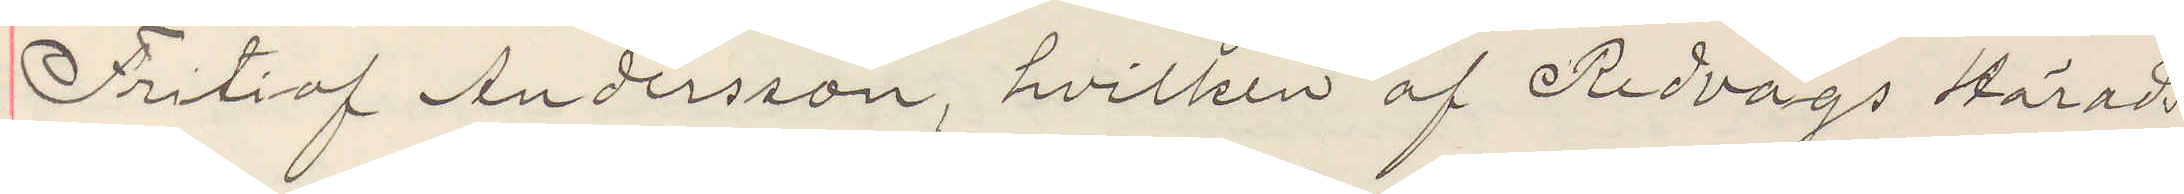Fritiof Andersson, hvilken af Redvägs Härads¬
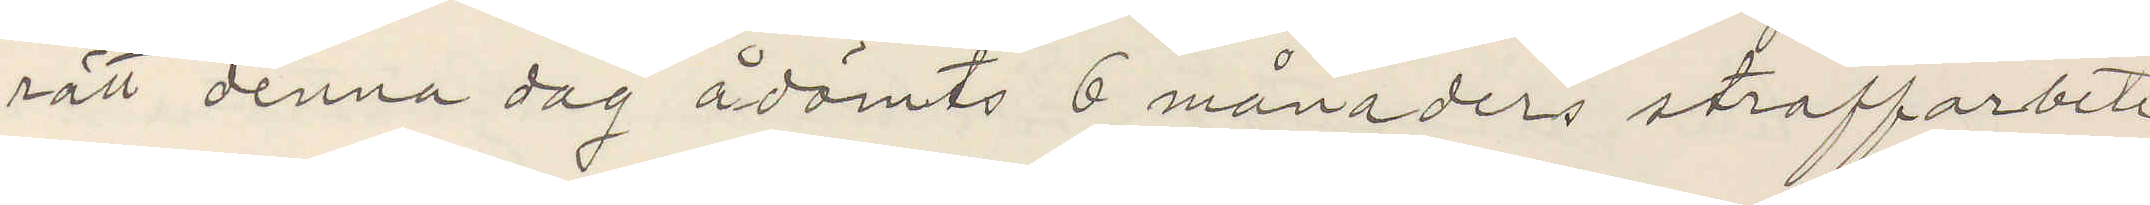rätt denna dag ådömts 6 månaders straffarbete
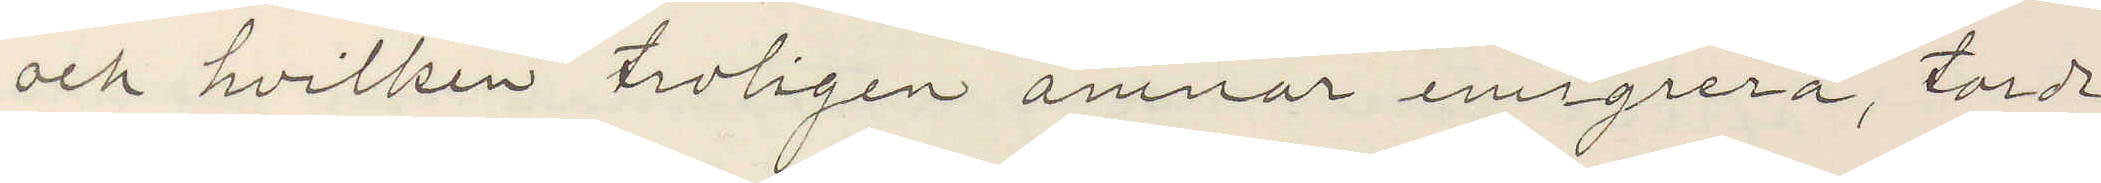och hvilken troligen ämnar emigrera, torde
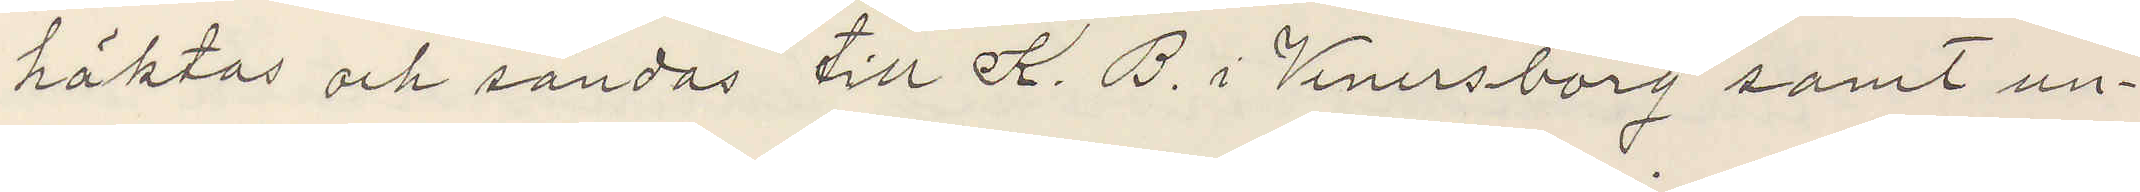häktas och sändas till K. B. i Venersborg samt un¬
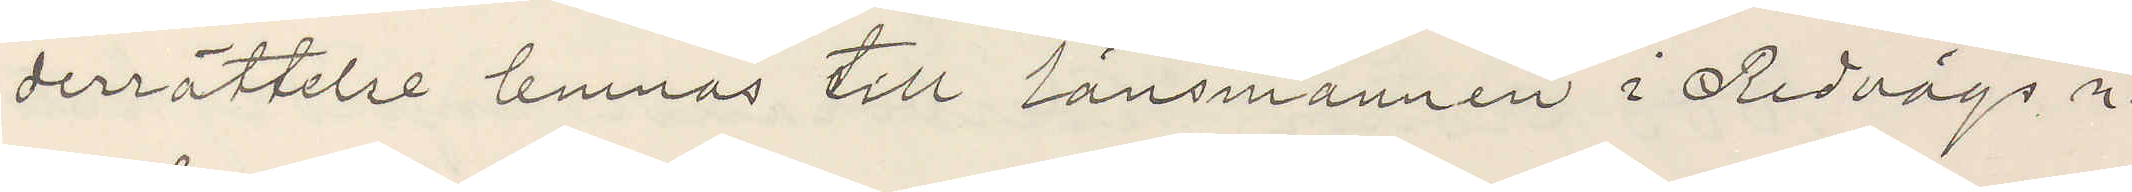derrättelse lemnas till Länsmannen i Redvägs n.
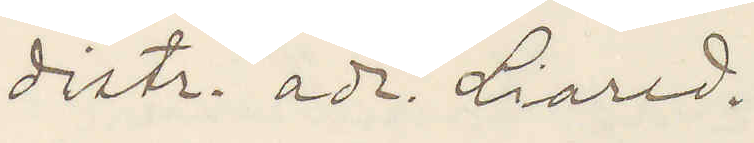distr. adr. Liared.
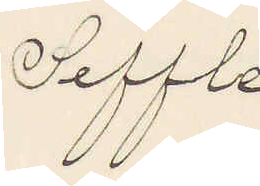Seffle
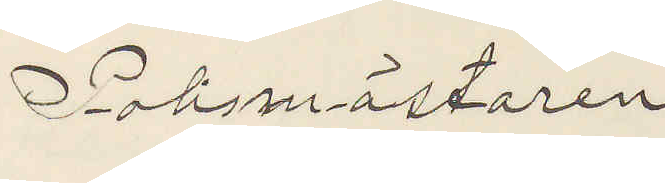Polismästaren
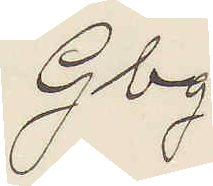Gbg.
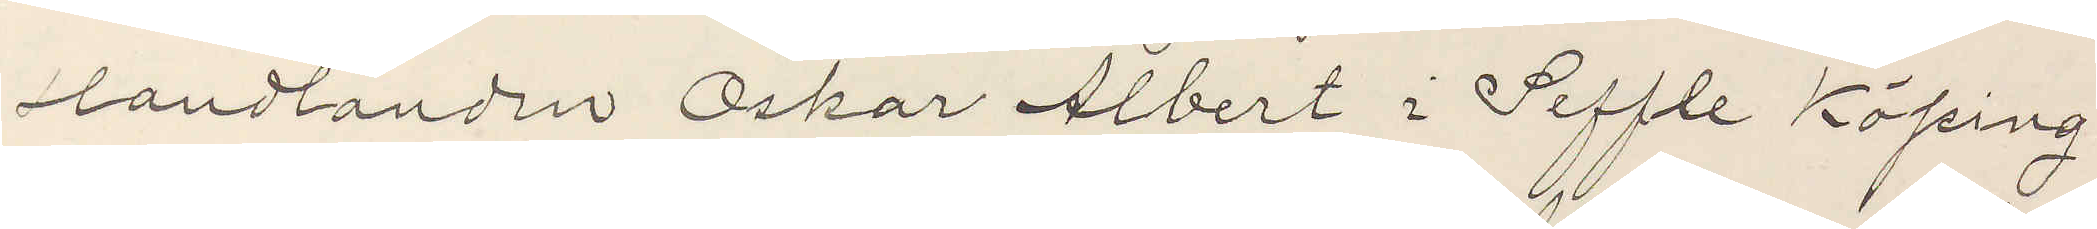landhandln Oskar Albert i Seffle Köping
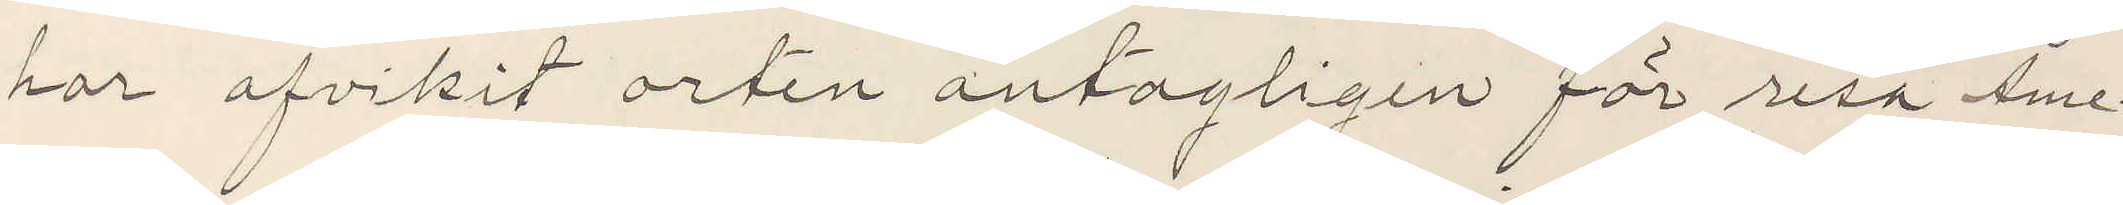har afvikit orten antagligen för resa Ame¬
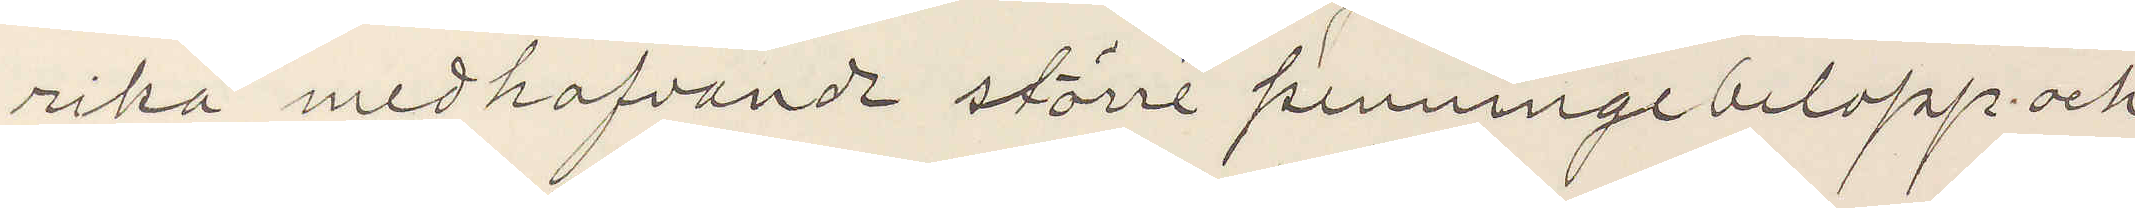rika medhafvande större penningebelopp och
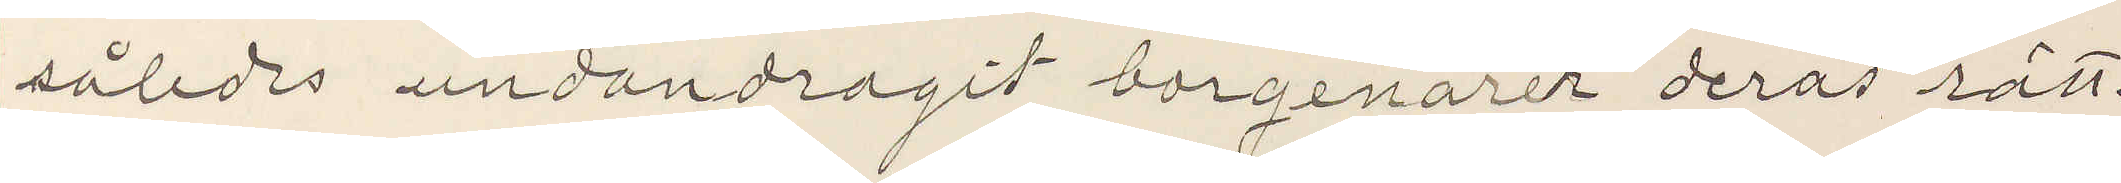således undandragit borgenärer deras rätt.
